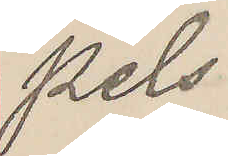pels
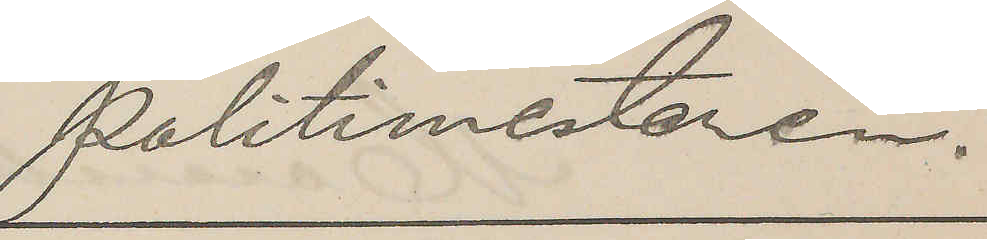Politimesteren.
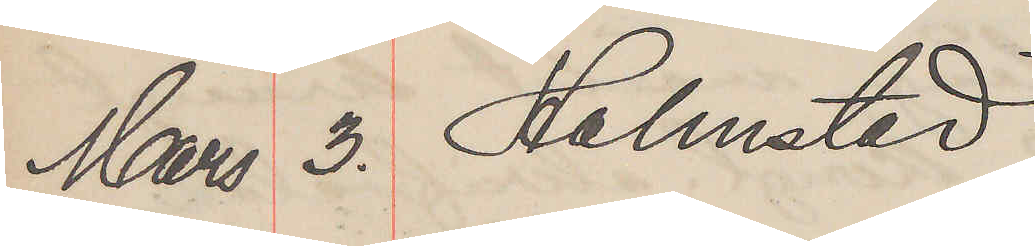Mars 3. Halmstad
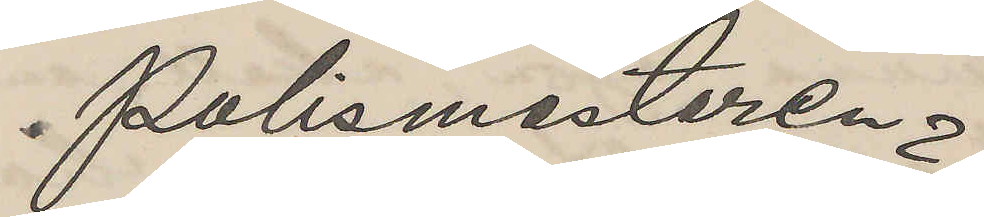Polismästaren
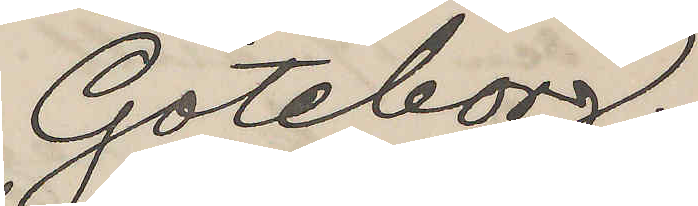Göteborg.
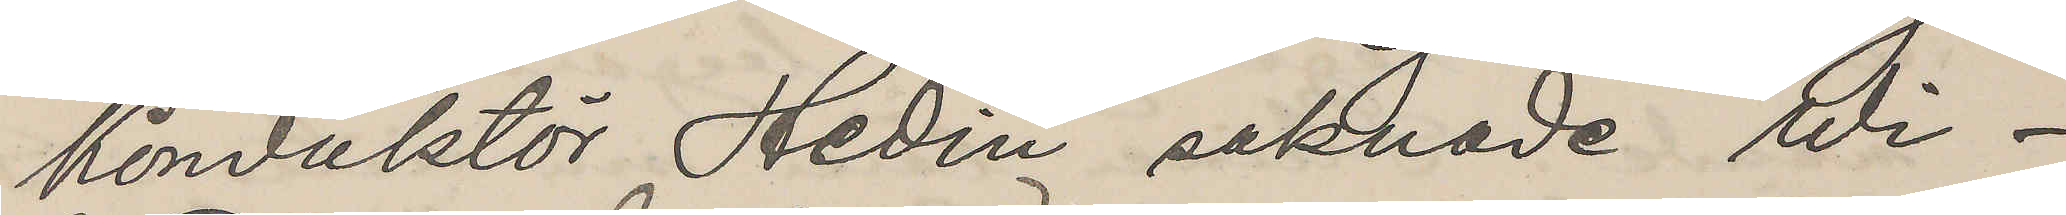Konduktor Hedin saknade Wi¬
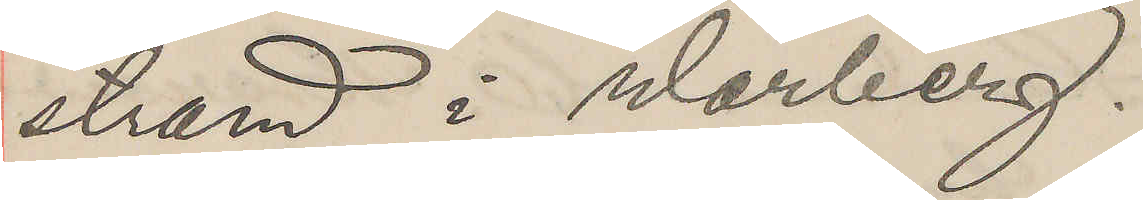strand i Warberg.
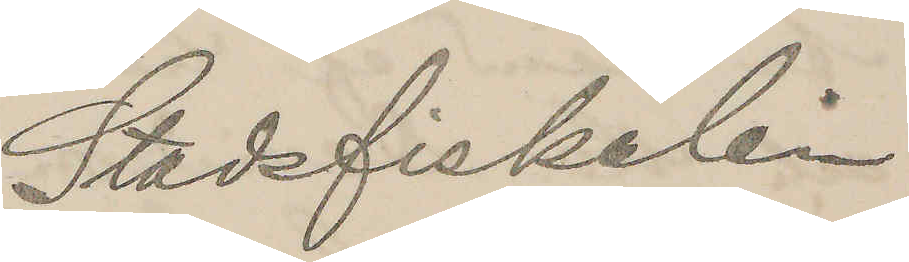Stadsfiskalen
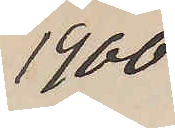1400
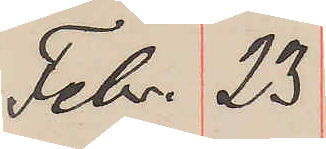Febr. 23.
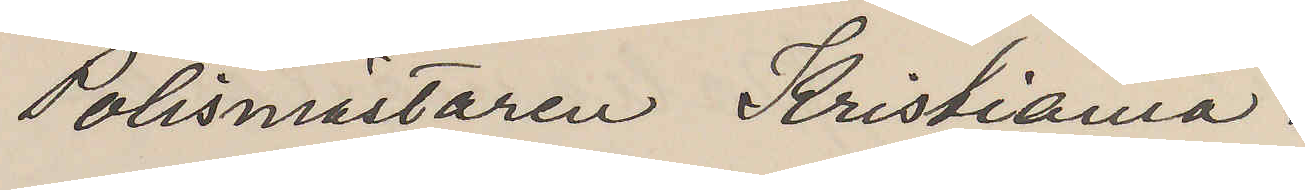Polismästaren Kristiania.
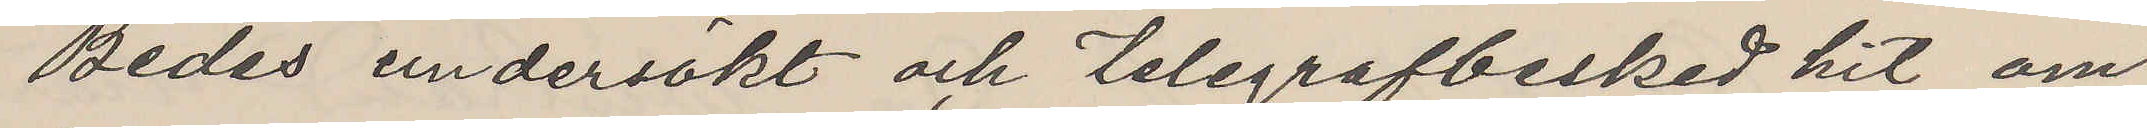Bedes undersökt och telegrafbesked hit om
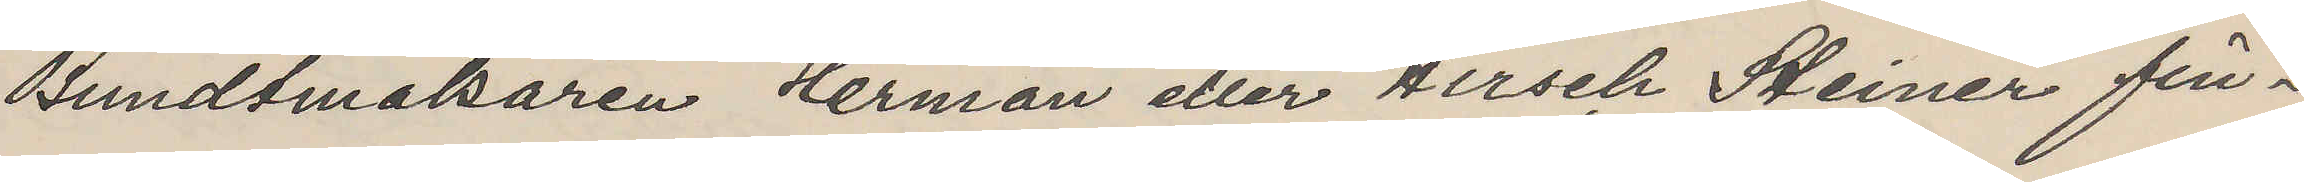Bundtmaksaren Herman eller Hersch Heiner fin¬
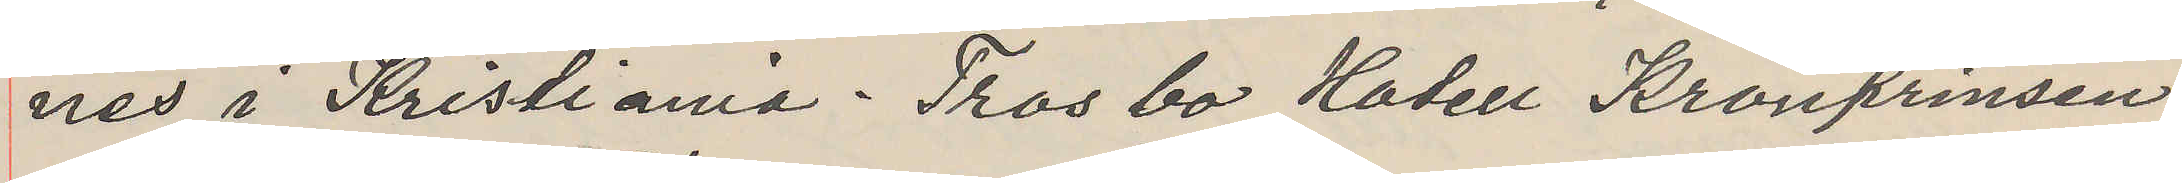nes i Kristiania. Tros bo Hadell Kronprinsen
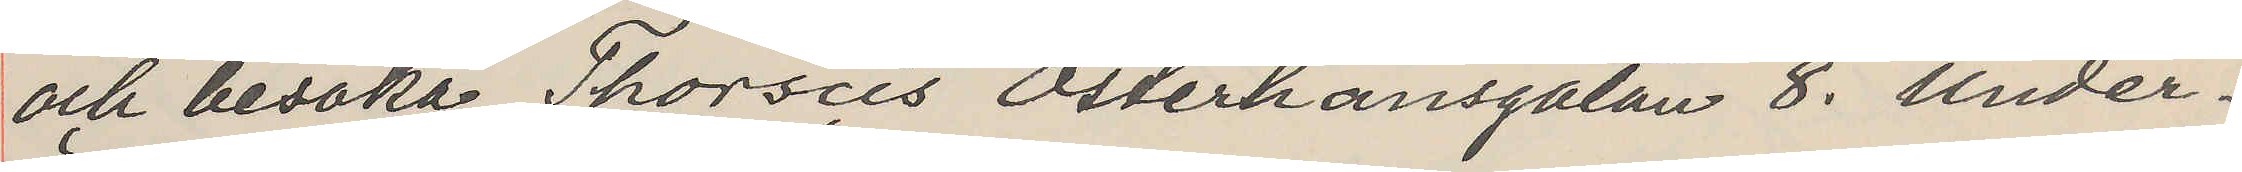och besöka Thorseis Österhansgatan 8. Under
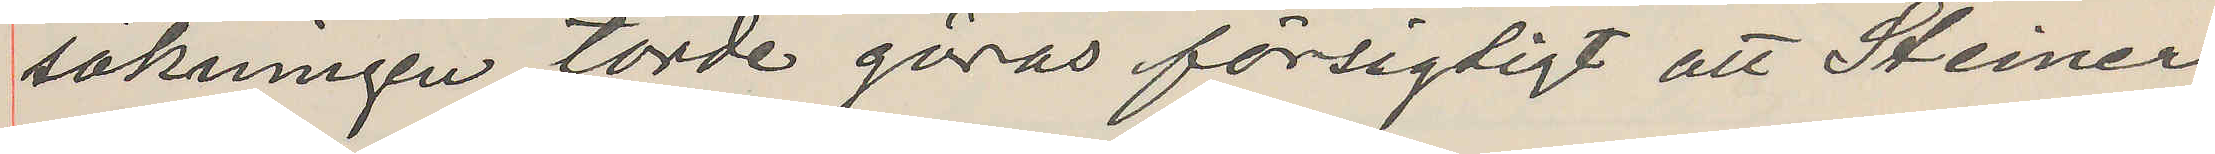sökningen törde göras försagdigt att Stener
